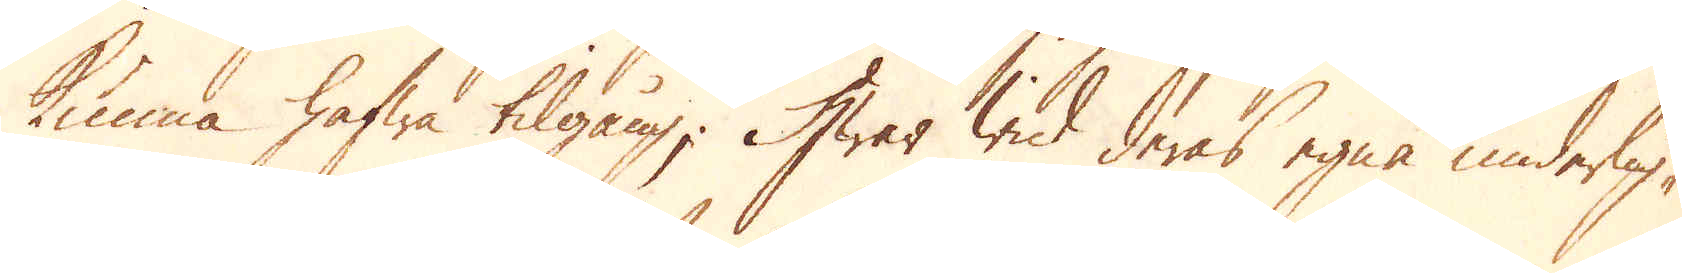kunna hafwa tilgång; Hwar wid deras egna underlig-
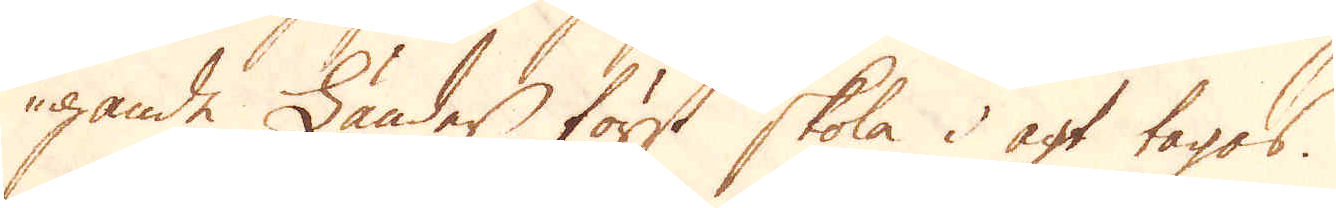gande Länder först skola i agt tagas.
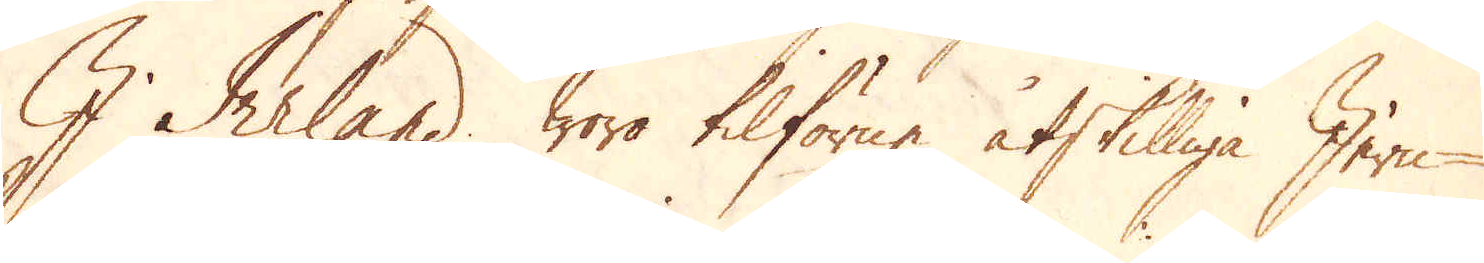I Ireland woro tilförne åtskilliga Jern-
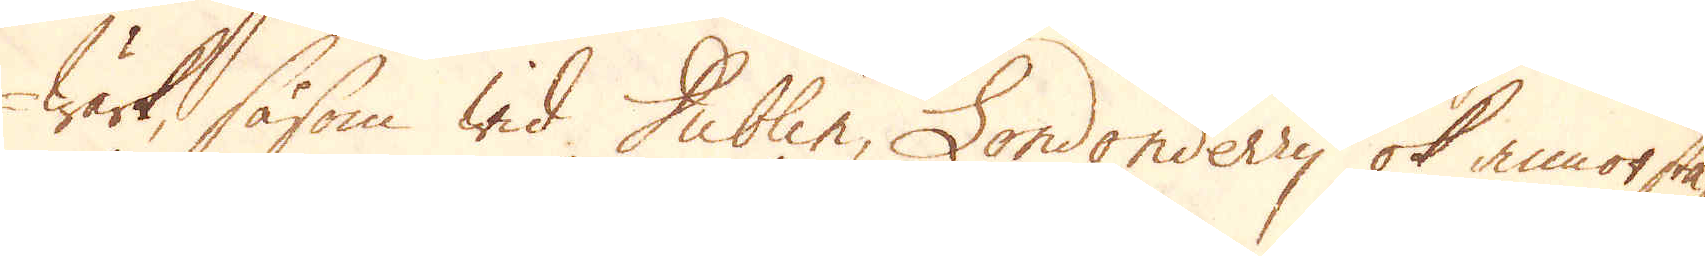wärk, såsom wid Dublin, Londonderry ok annorstä-
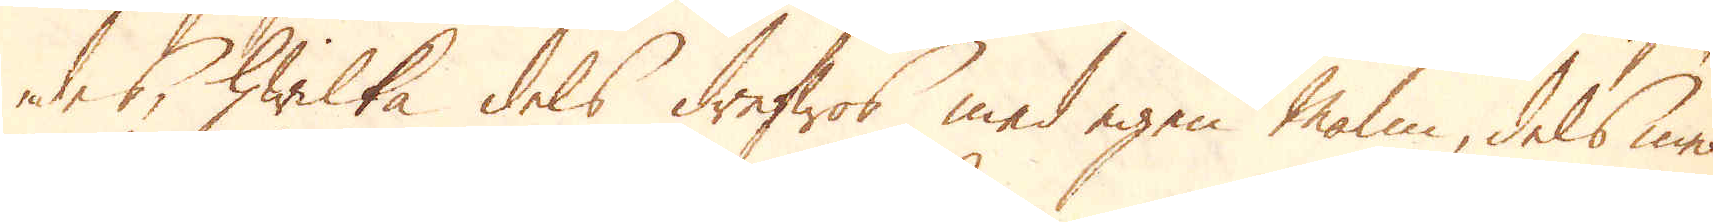des, hwilka dels drefwos med egen Malm, dels med
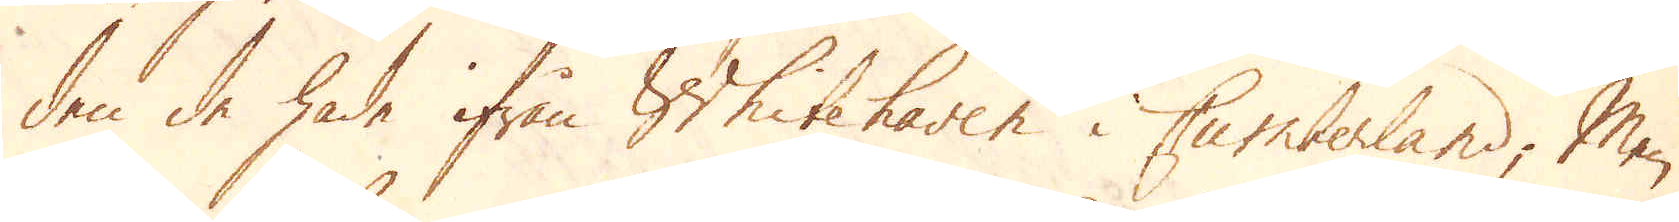den de hade ifrån Whitehaven i Cumberland; Men
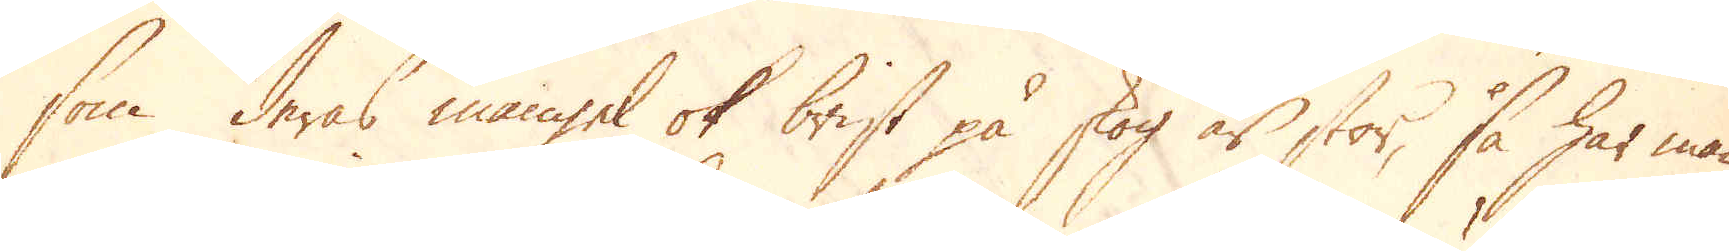som deras mangel ok brist på skog är stor, så har man
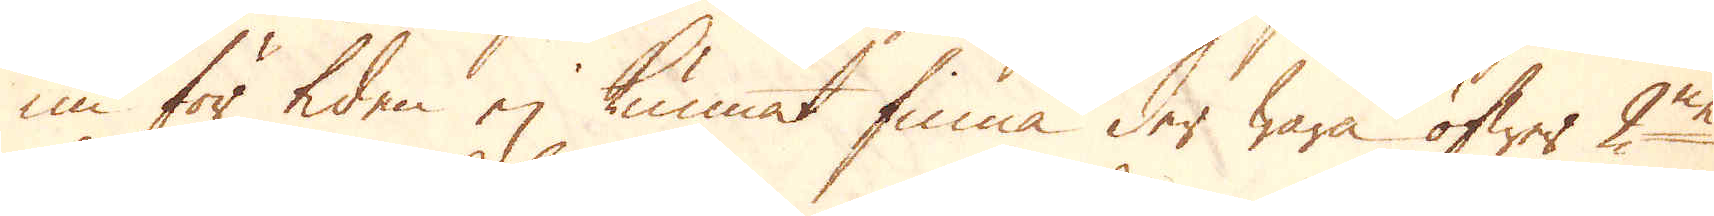nu för tiden ej kunnat finna der wara öfwer 2ne
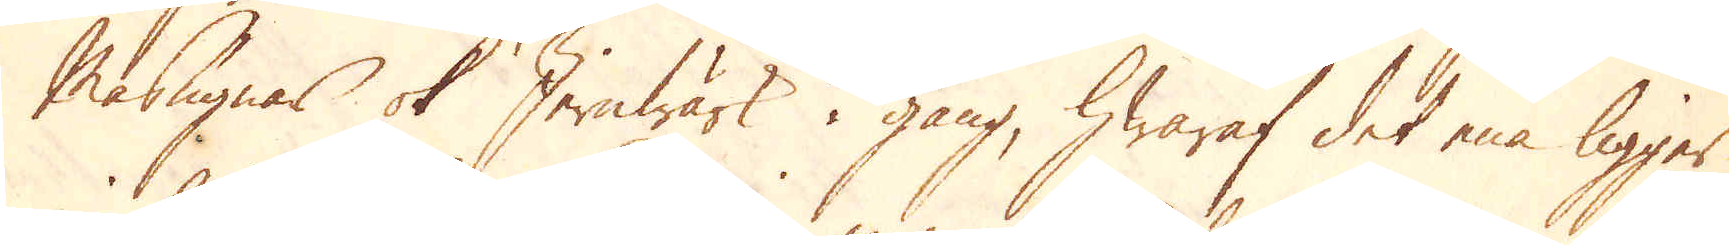Masugnar ok Jernwärk i gång, hwaraf det ena ligger
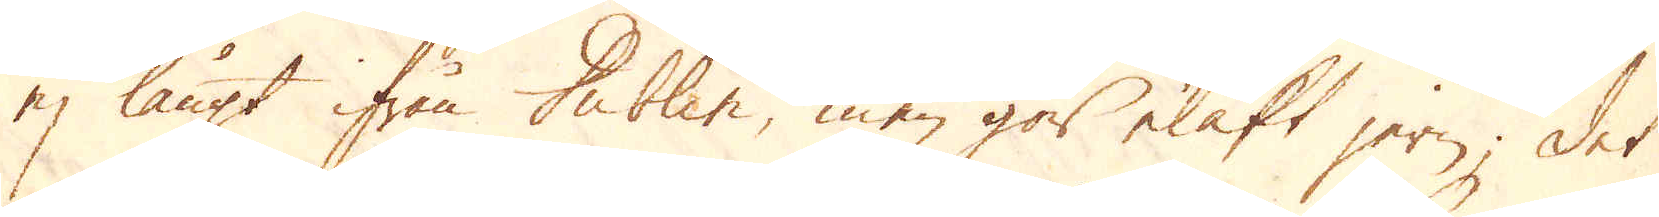ej långt ifrån Dublin, men gör elakt jern; det
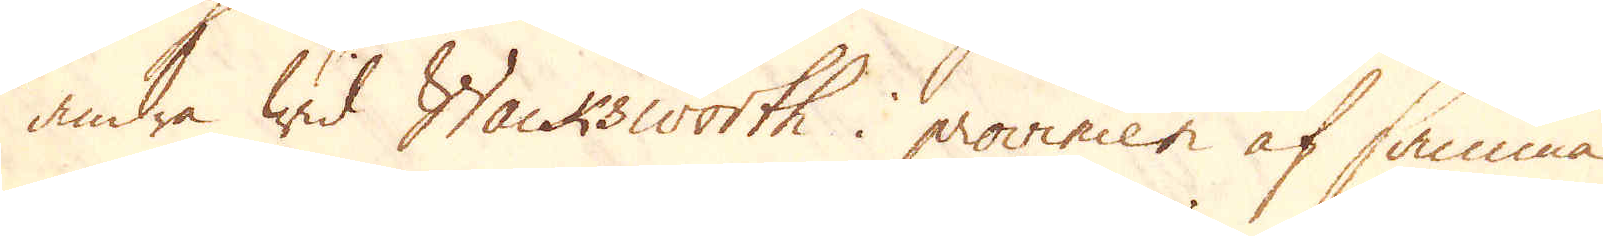andra wid Wacksworth i provincen af samma
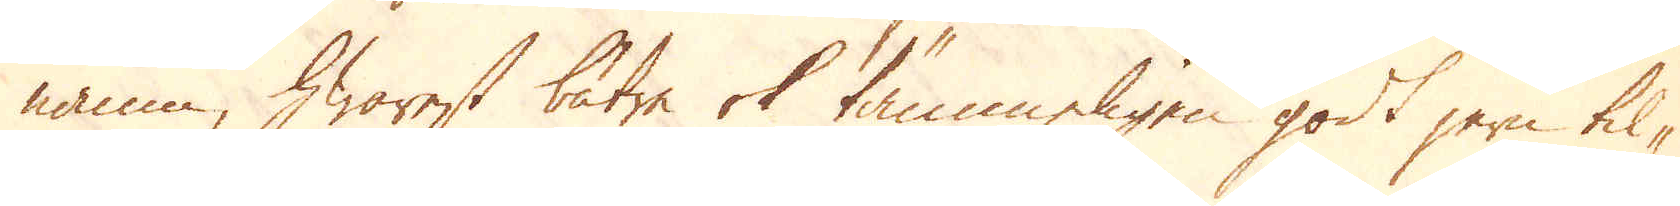namn, hwarest bätre ok tämmeligen godt jern til-
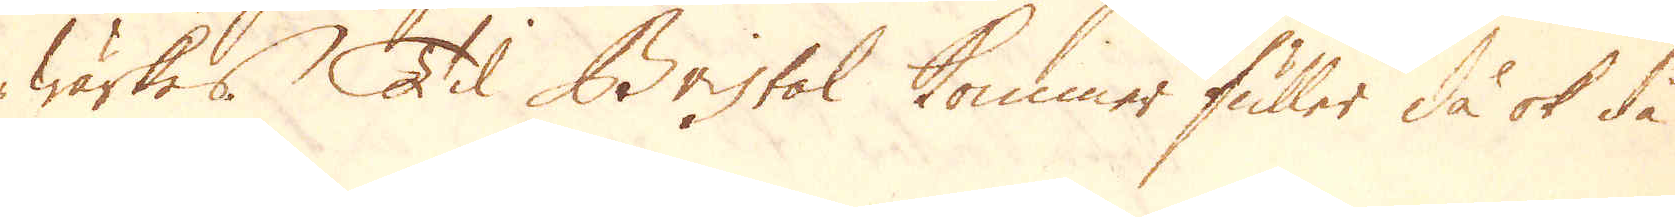wärkes. Til Bristol kommer fuller då ok då
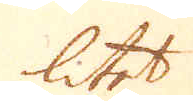litet
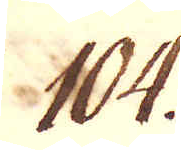104.
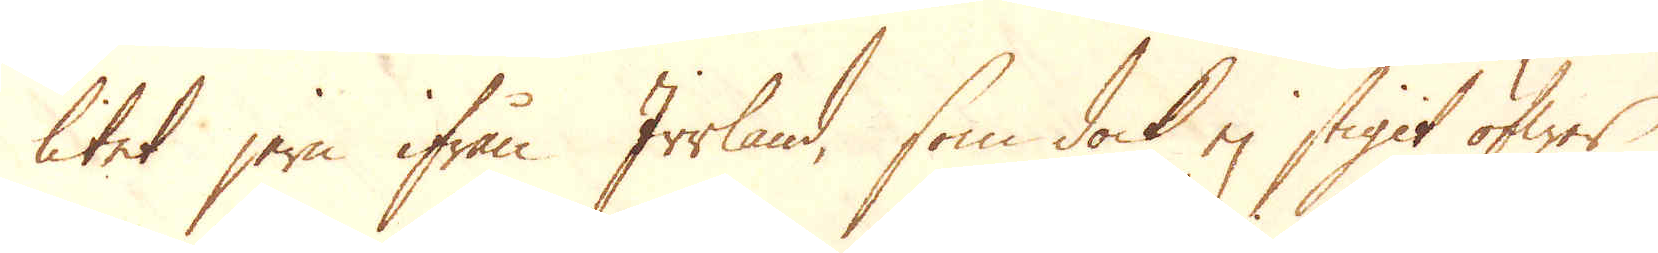litet jern ifrån Irrland, som dock ej stigit öfwer
